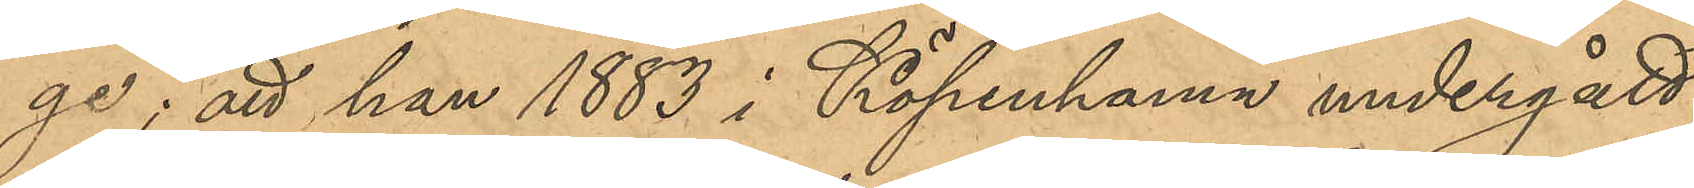ge; att han 1883 i Köpenhamn undergått
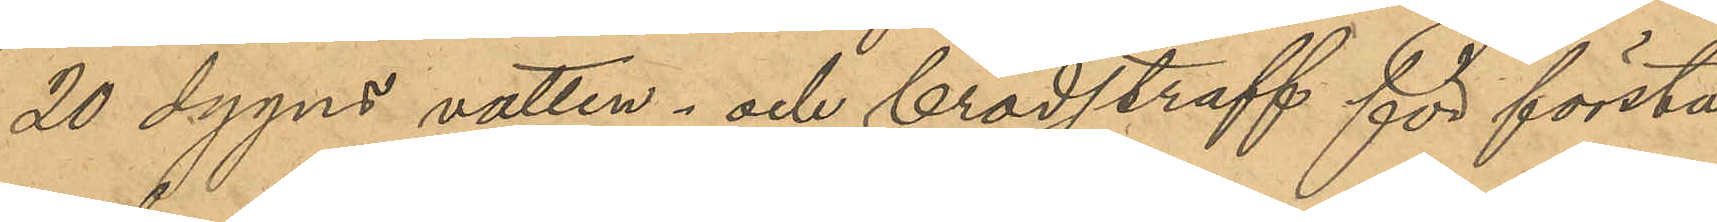20 dygns vatten- och brödstraff för första
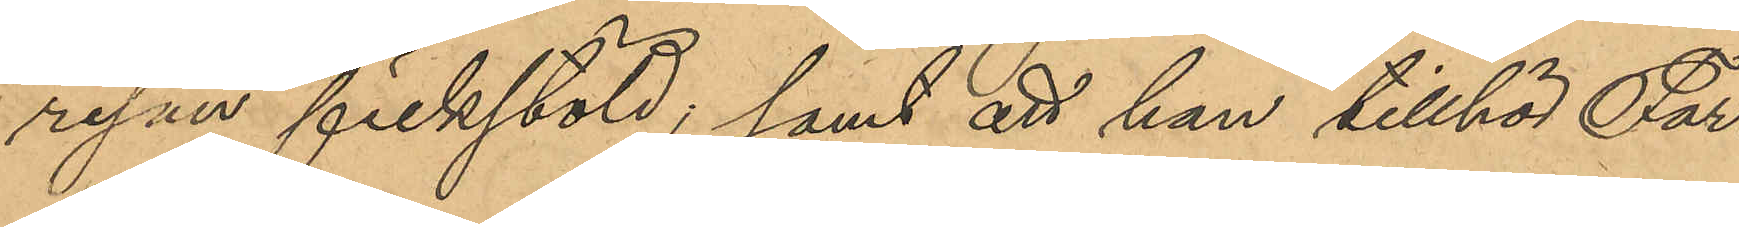resan fickstöld; samt att han tillhör Far¬
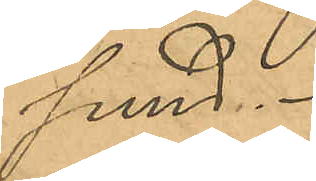sund.
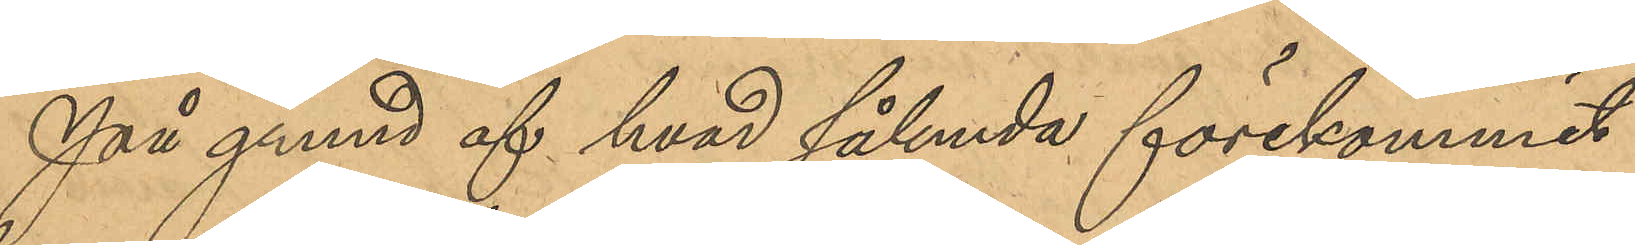På grund af hvad sålunda förekommit
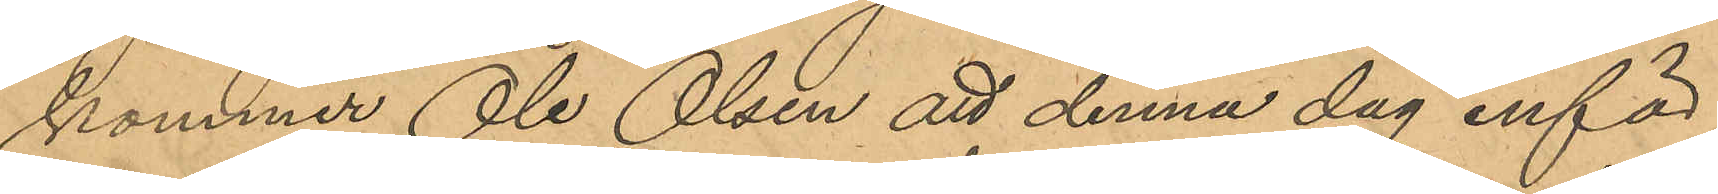kommer Ole Olsen att denna dag inför
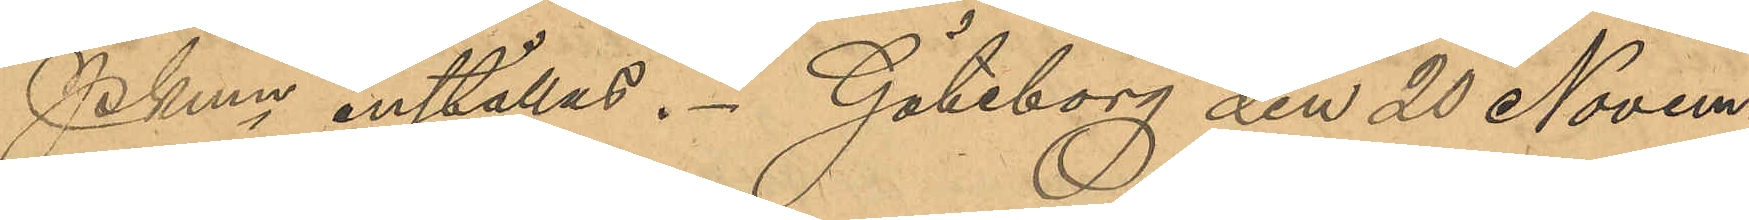        PKmn inställas. Göteborg den 20 Novem¬
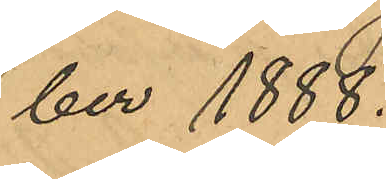ber 1888.
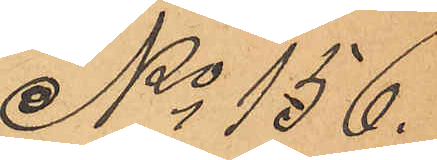No 156.
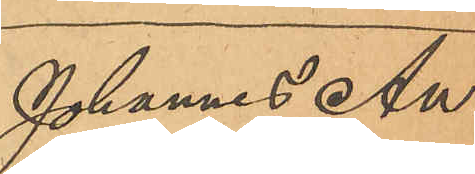Johannes An¬
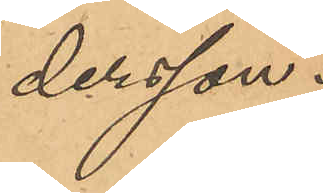dersson.
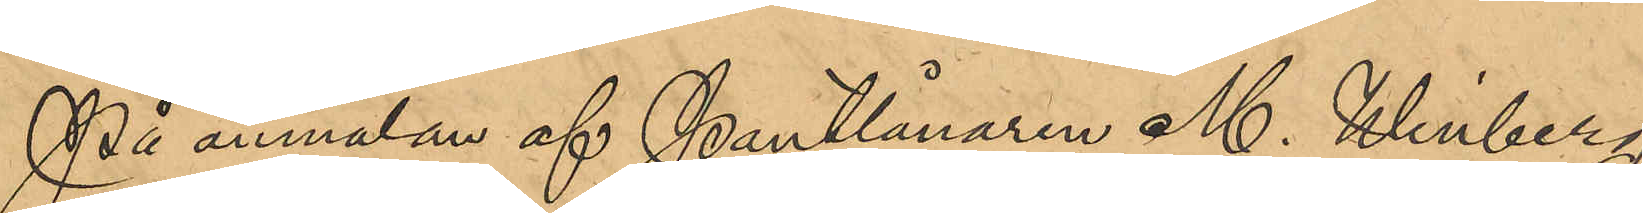På anmälan af Pantlånaren M. Winberg,
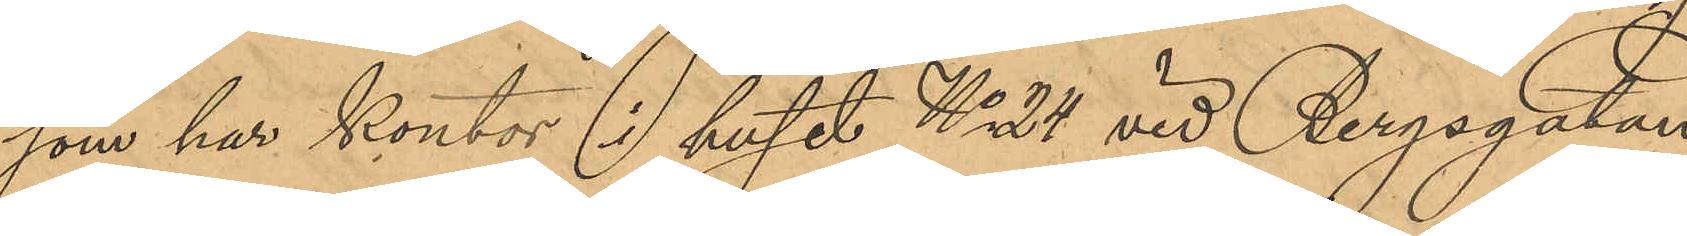som har kontor i huset No 24 vid Bergsgatan,
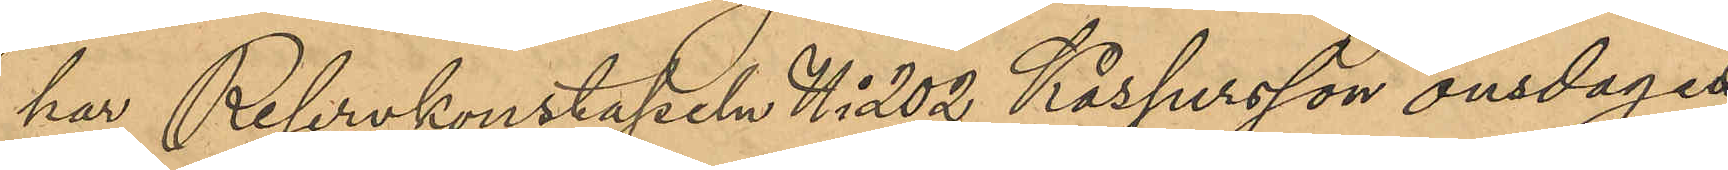har Reservkonstapeln No 202 Kaspersson onsdagen
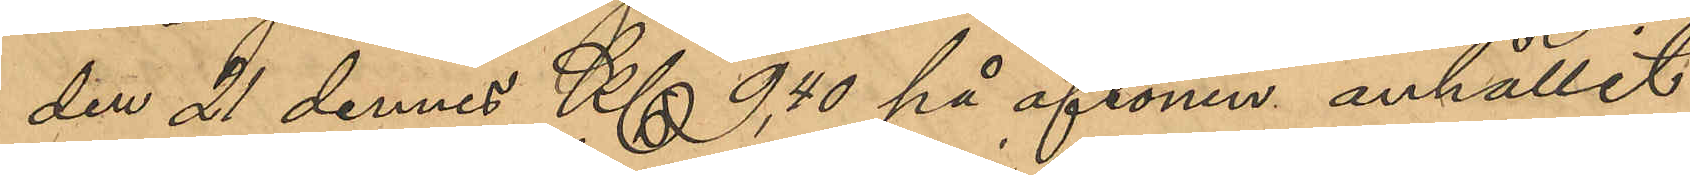den 21 dennes Kl 9,40 på aftonen anhållit
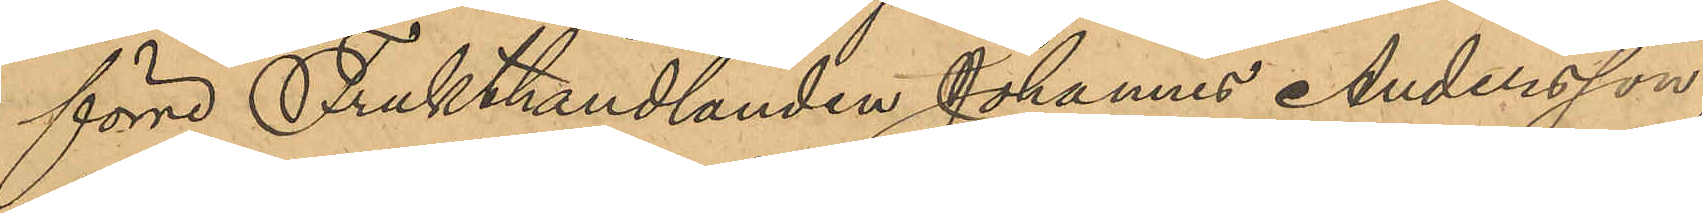förre Frukthandlanden Johannes Andersson,
